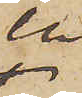en
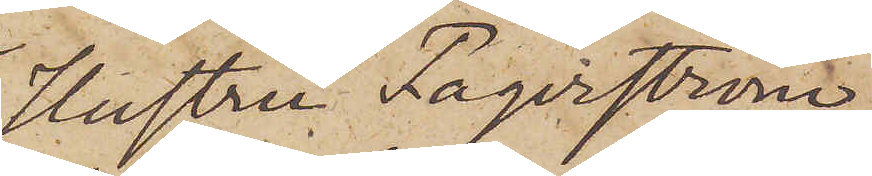Hustru Fagerström
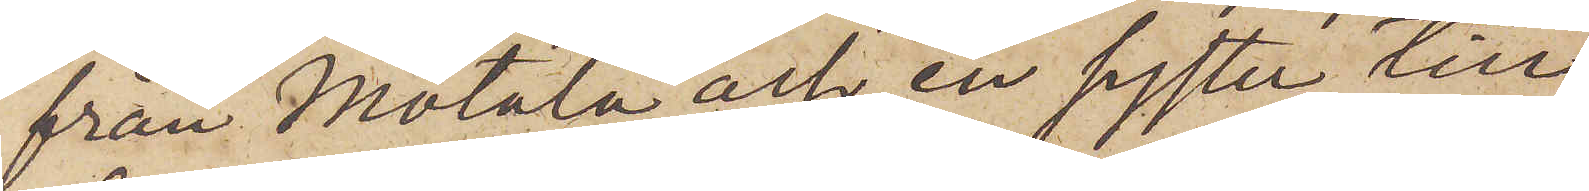från Motala och en syster till
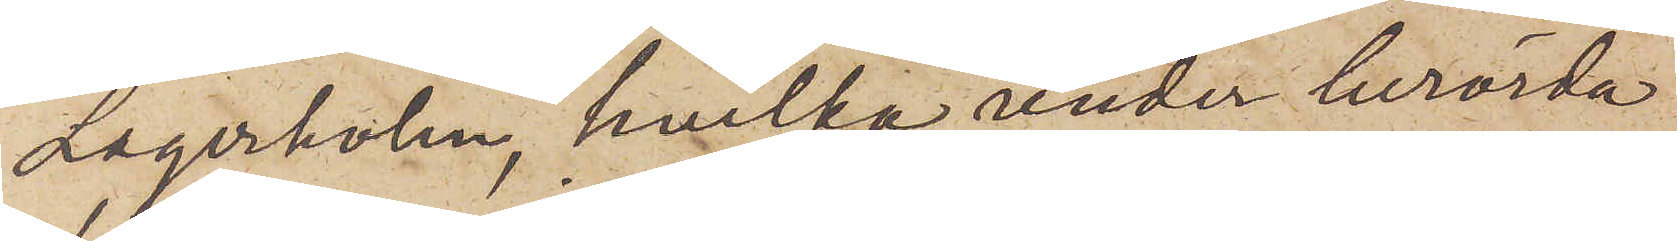Lagerholm, hvilka under berörda
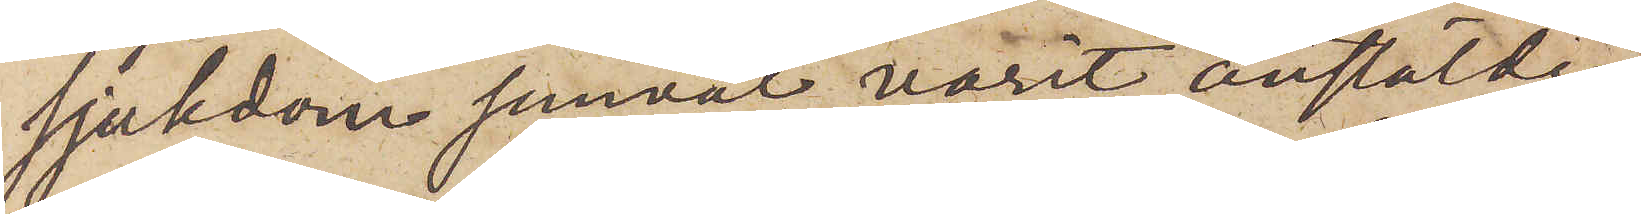sjukdom jemväl varit anstälde
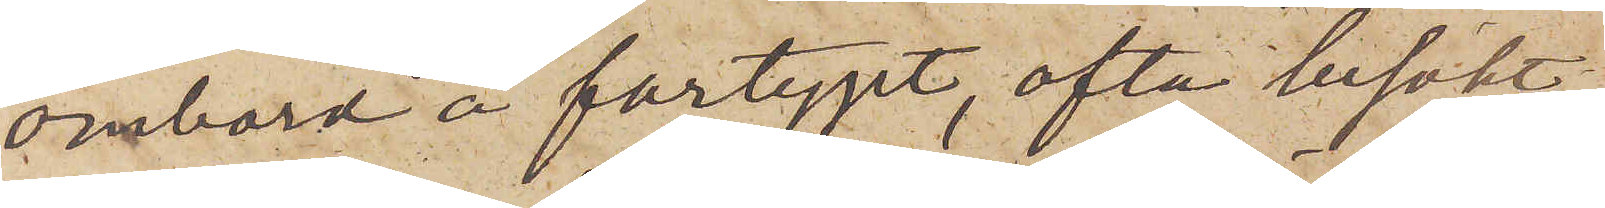ombord å fartyget, ofta besökt
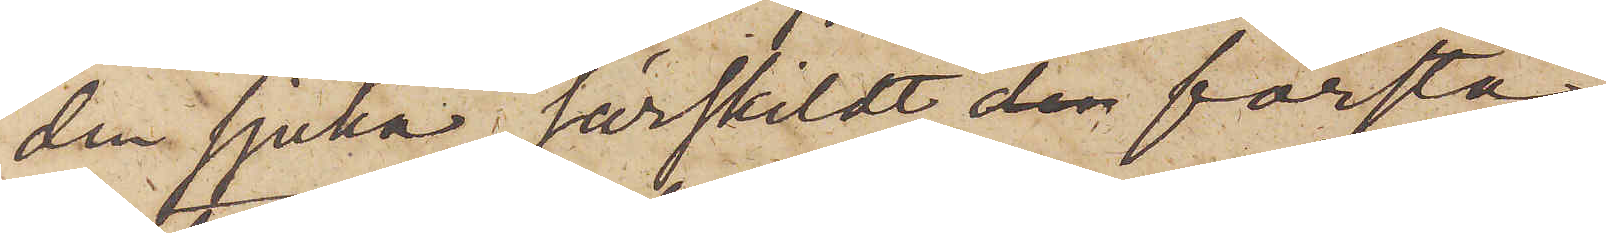den sjuka, särskildt första
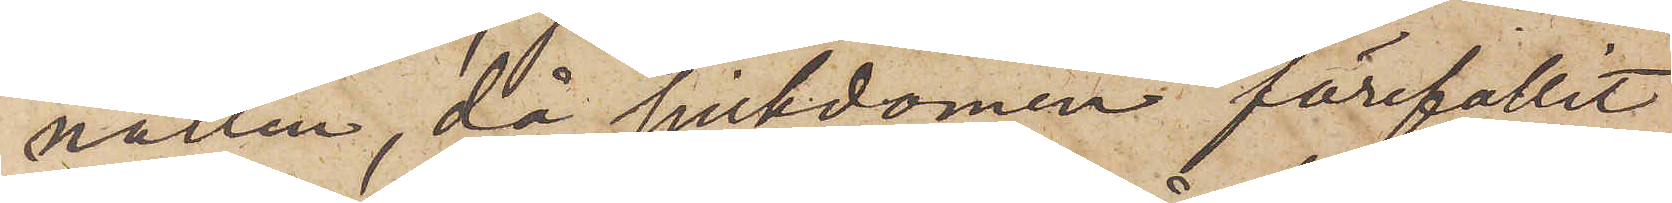natten, då sjukdomen förefallit
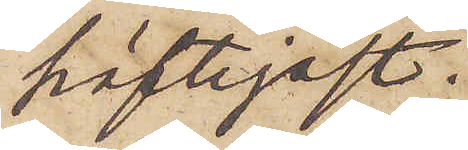häftigast
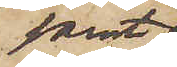samt
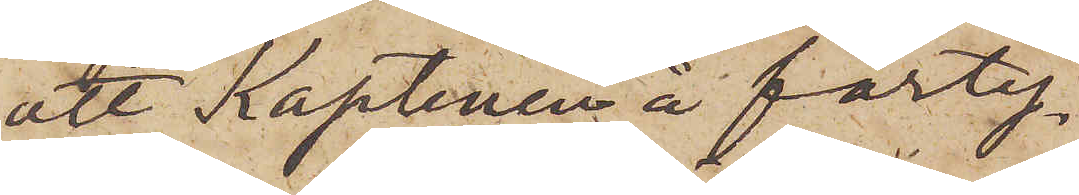att Kaptenen å farty¬
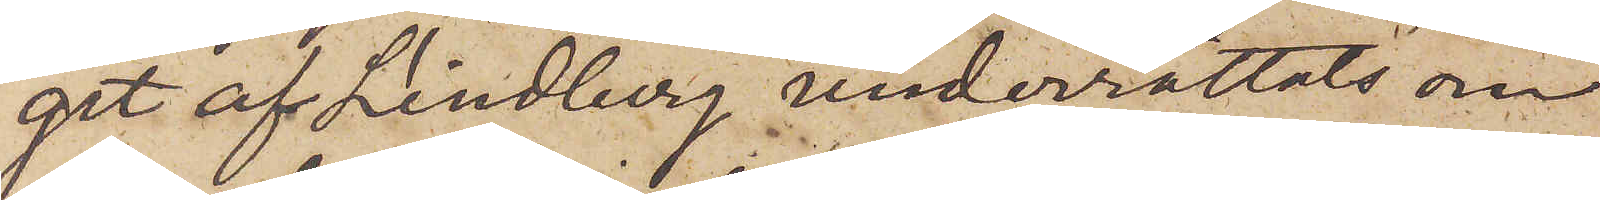get af Lindberg underrättats om
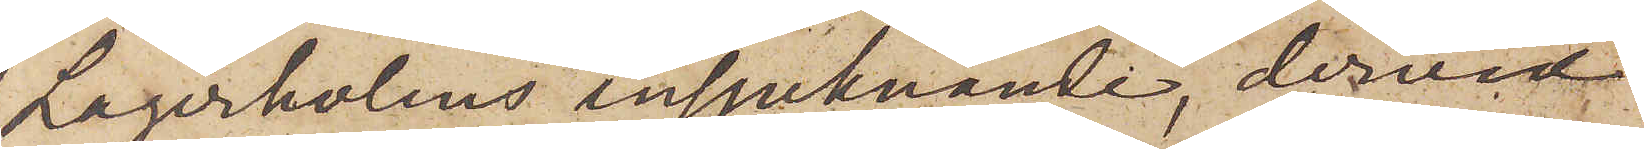Lagerholms insjuknande, dervid
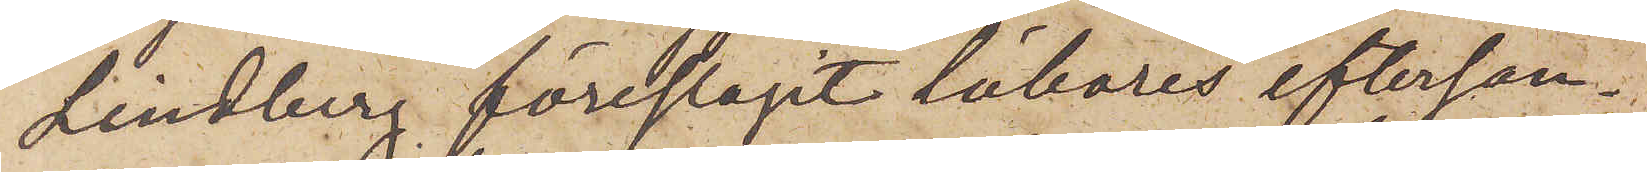Lindberg föreslagit läkares eftersän¬
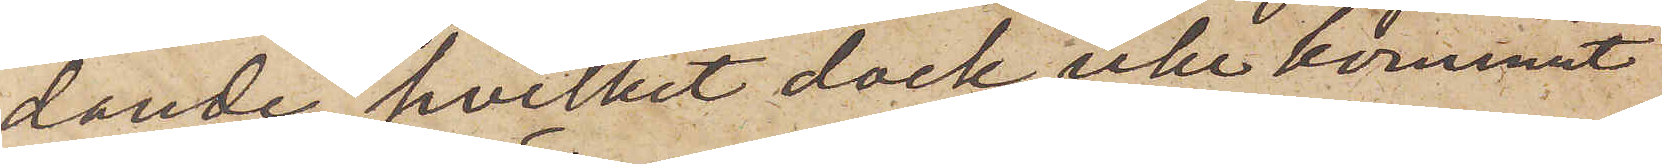dande, hvilket dock icke kommit
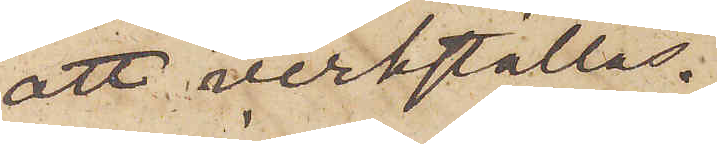att verkställas.
